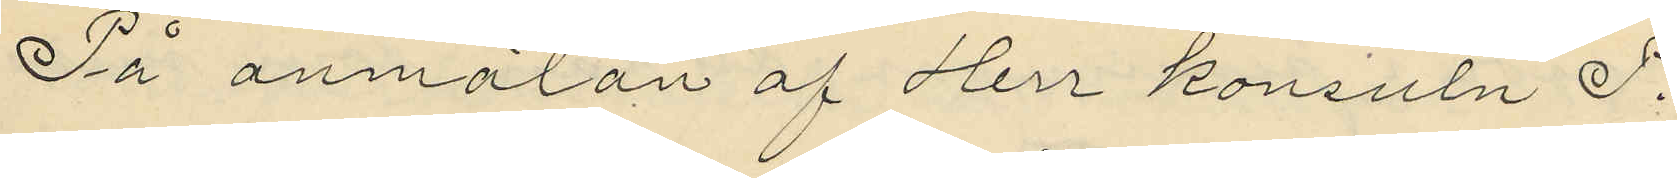På anmälan af Herr Konsuln P.
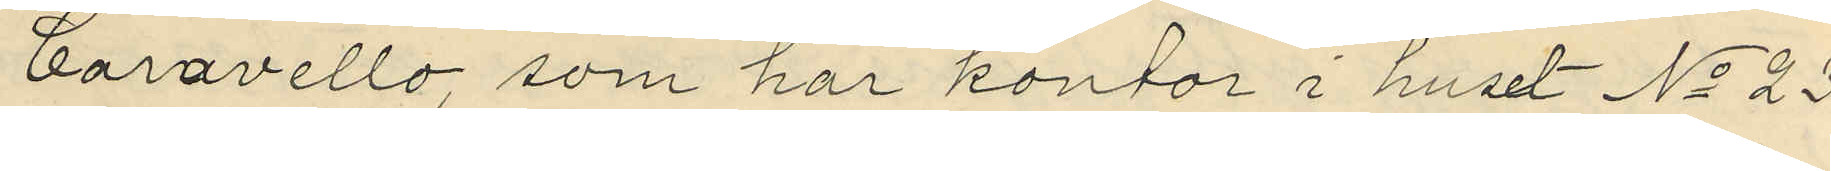Caravello, som har kontor i huset No 23
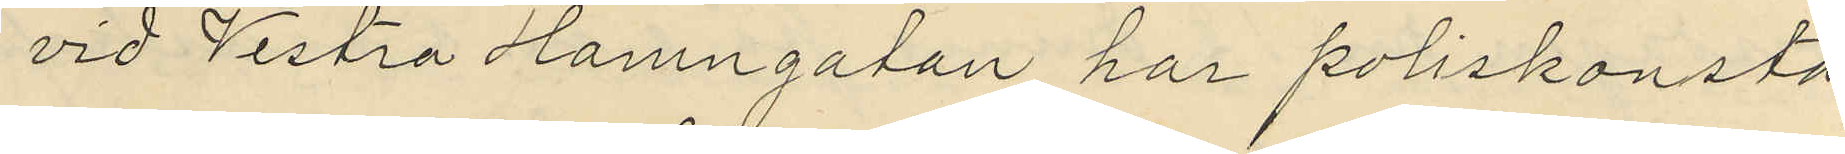vid Westra Hamngatan, har poliskonsta¬
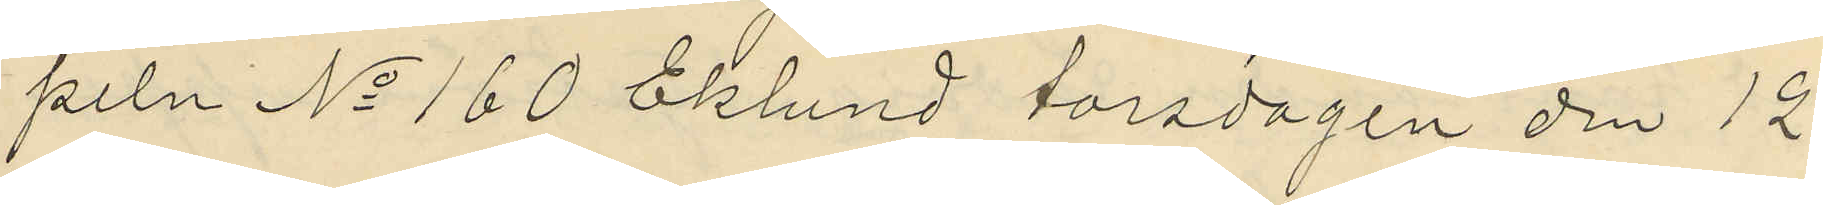peln No 160 Eklund torsdagen den 12
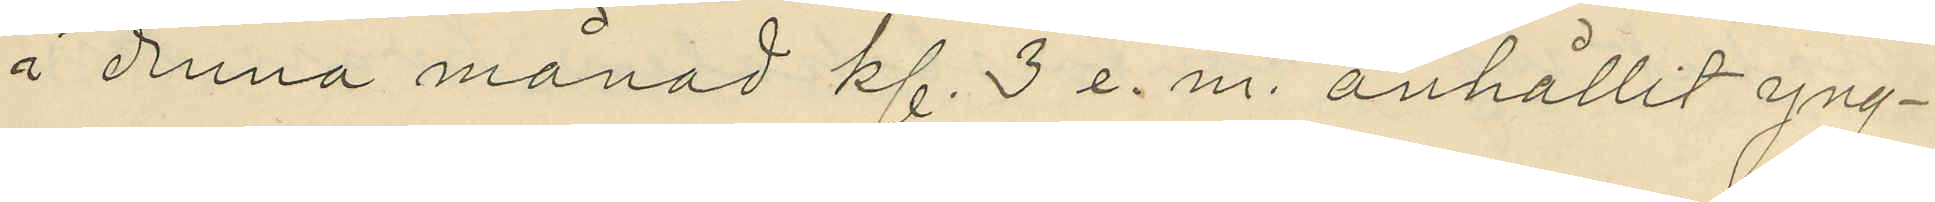i denna månad kl. 3 e. m. anhållit yng¬
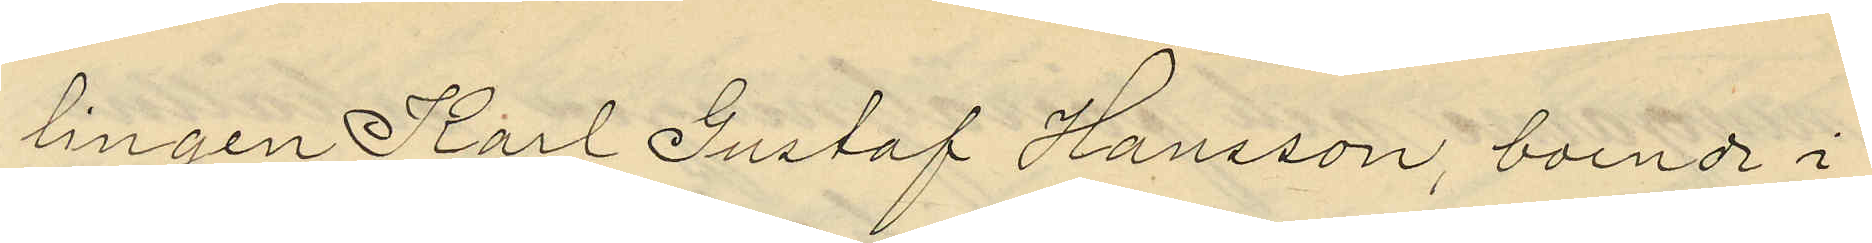lingen Karl Gustaf Hansson, boende i
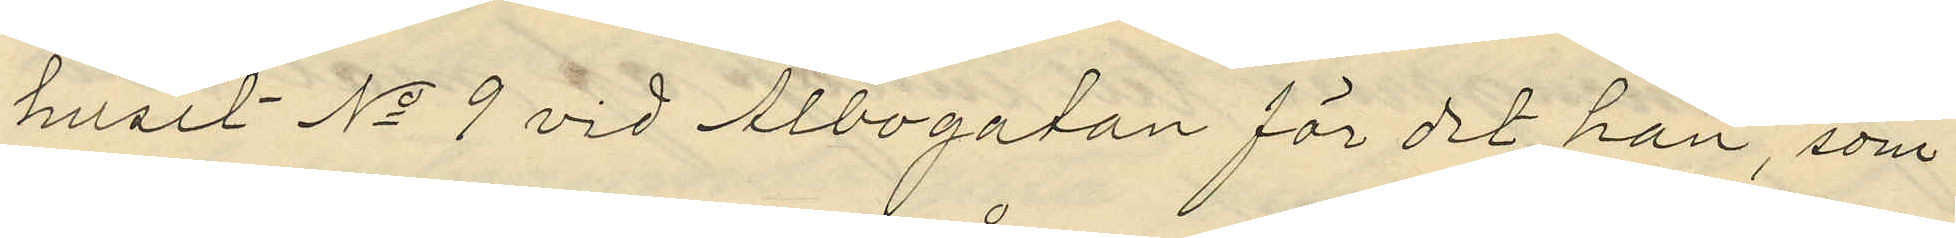huset No 9 vid Albogatan för det han, som
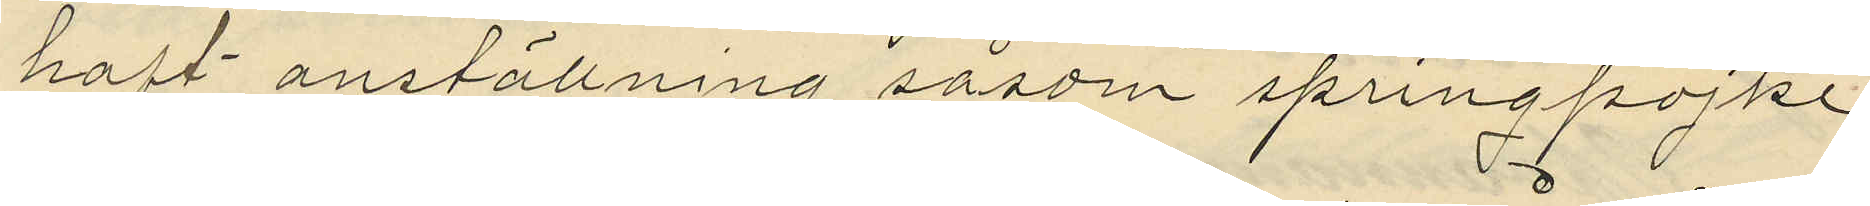haft anställning såsom springpojke
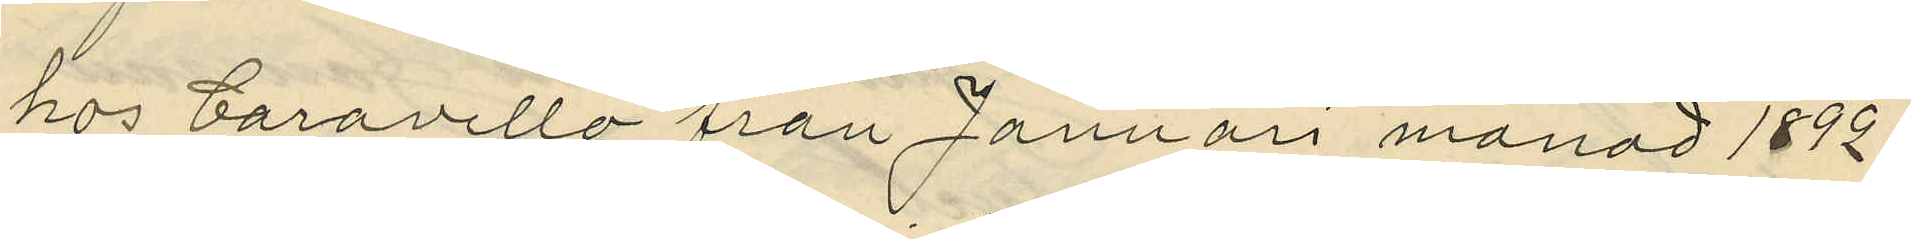hos Caravello från Januari månad 1892
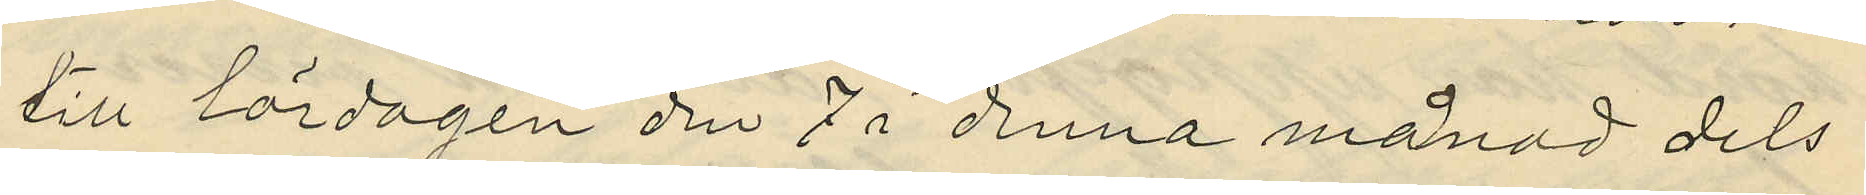till lördagen den 7 i denna månad dels
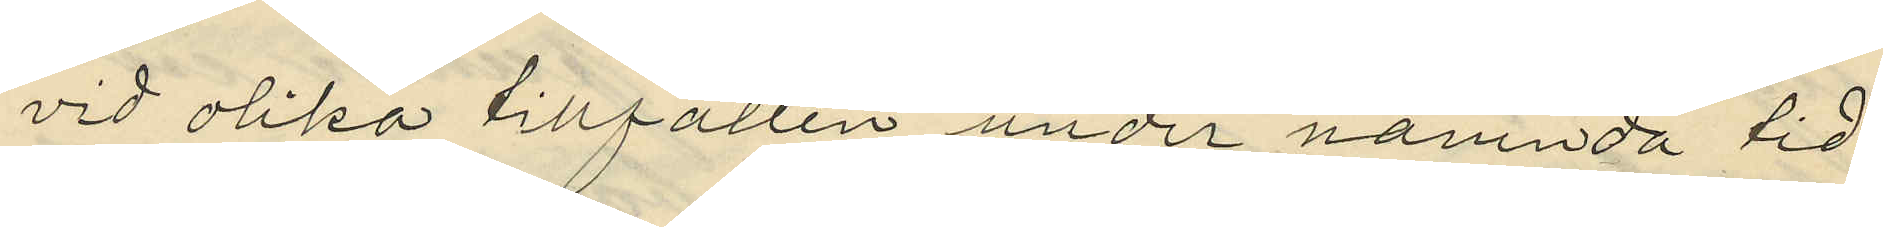vid olika tillfällen under nämnda tid
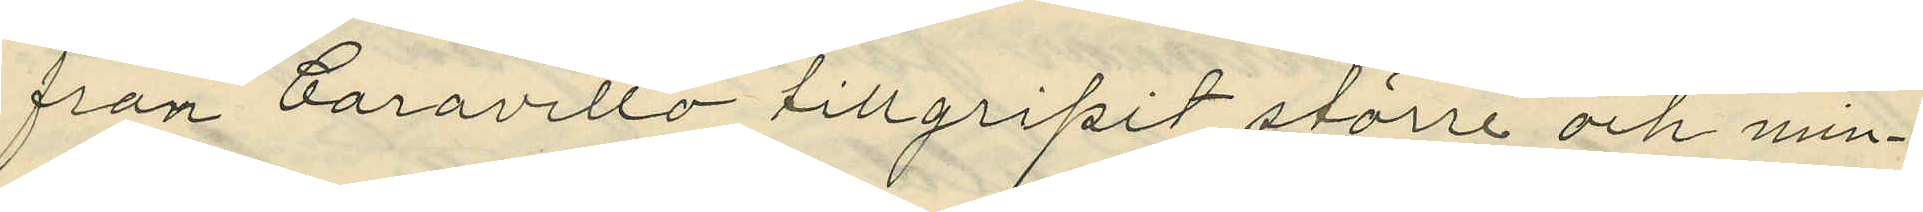från Caravello tillgripit större och min¬
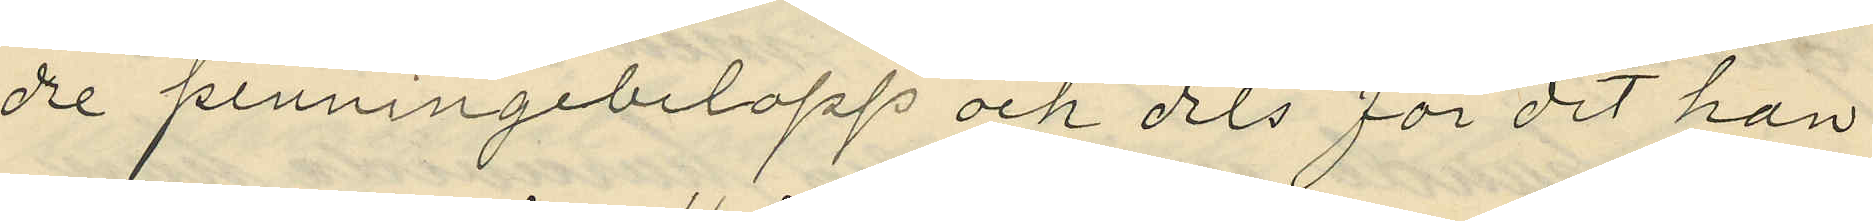dre penningebelopp och dels för det han
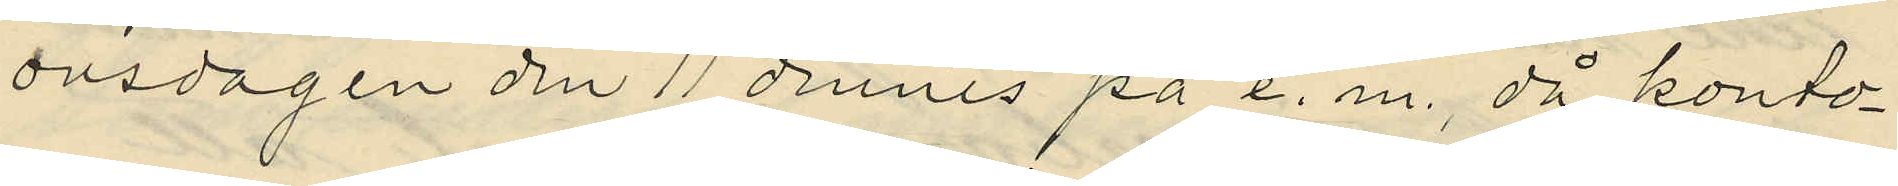onsdagen den 11 dennes på e. m., då konto¬
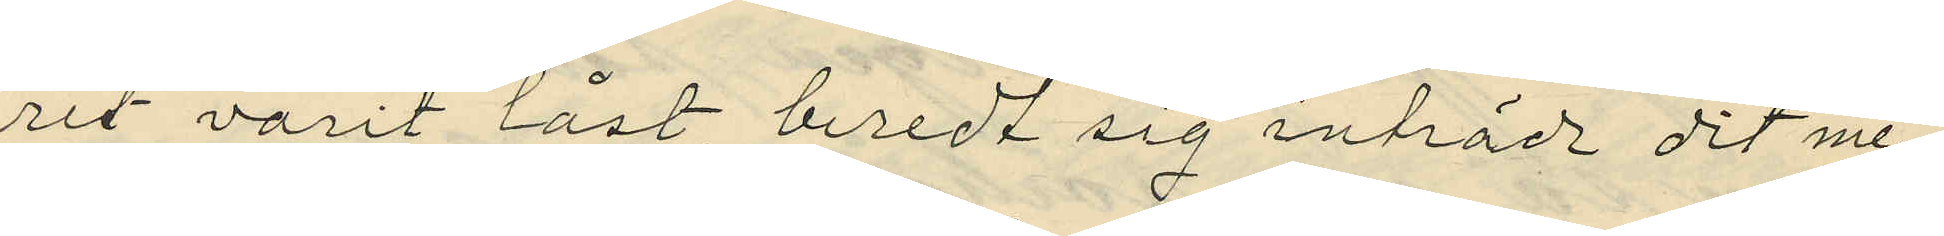ret varit låst beredt sig inträde dit me¬
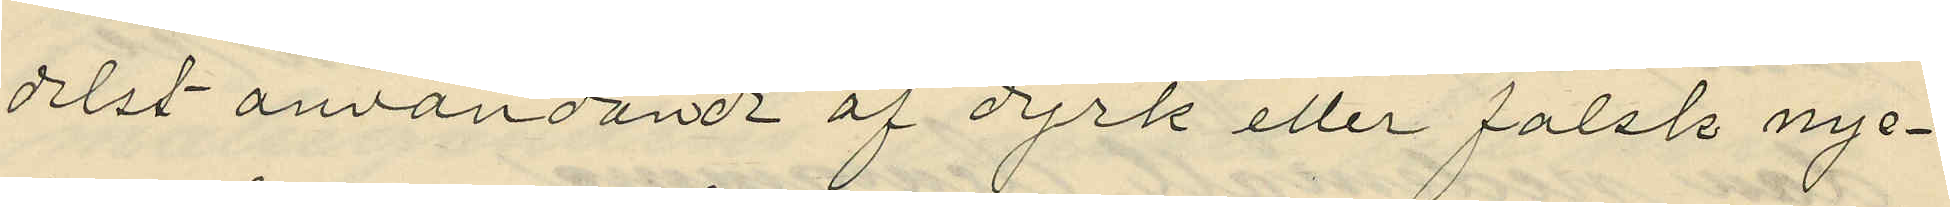delst användande af dyrk eller falsk nyc¬
